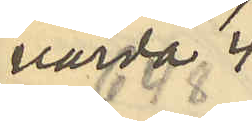värda 4
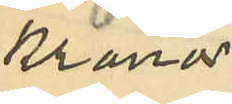Kronor;
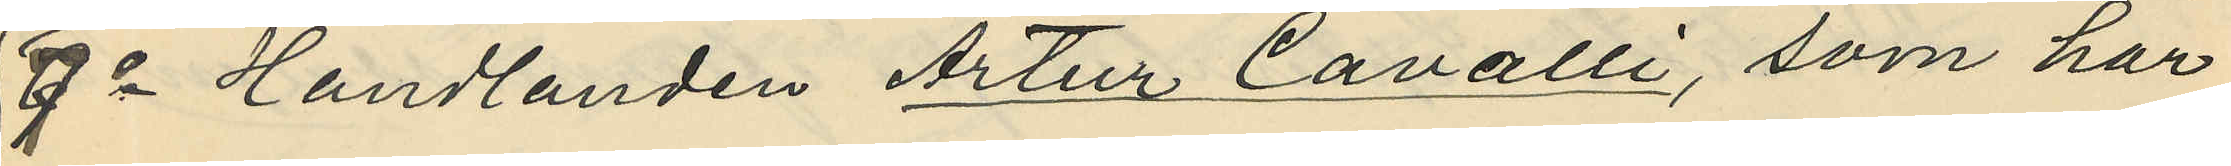7o Handlanden Artur Cavalli, som har
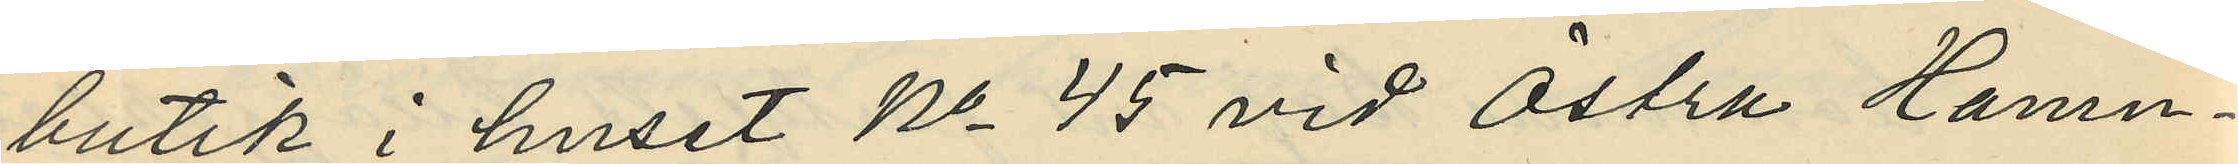butik i huset No 45 vid Östra Hamn¬
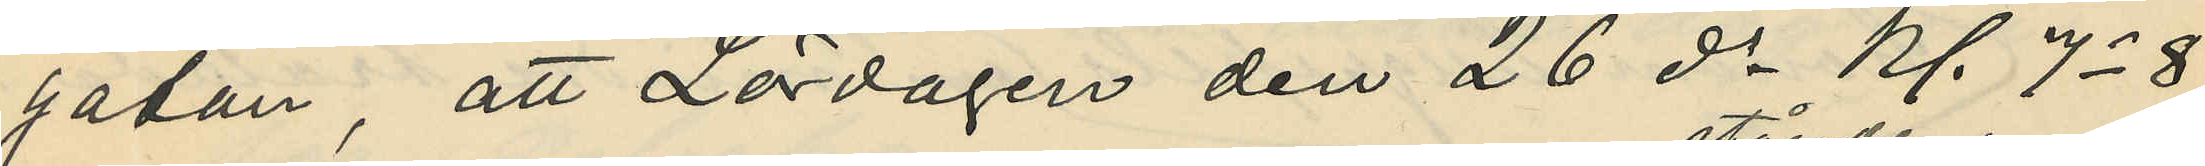gatan, att Lördagen den 26 ds kl. 7-8
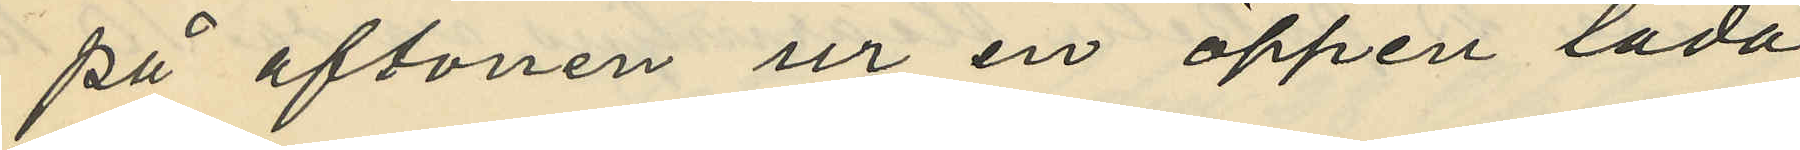på aftonen ur en öppen låda
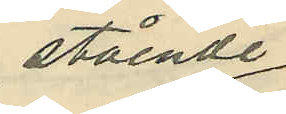stående
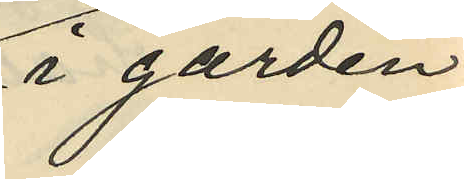i gården
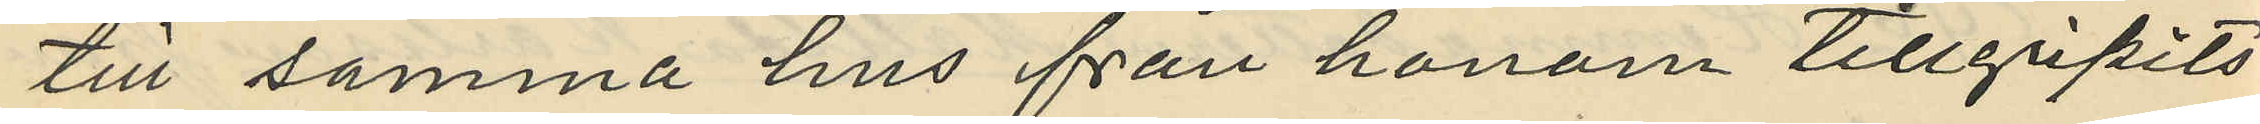till samma hus från honom tillgripits
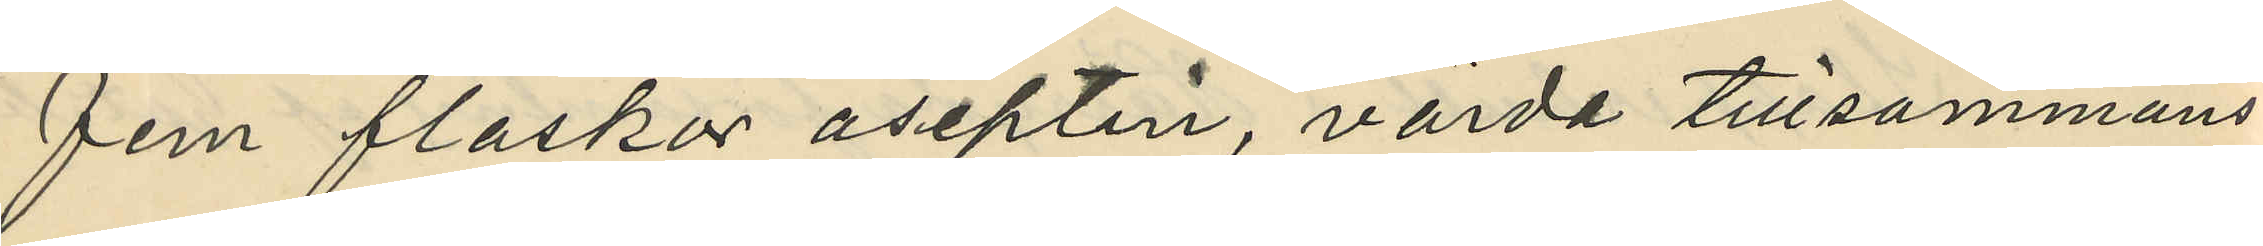fem flaskar aseptin, värda tillsammans
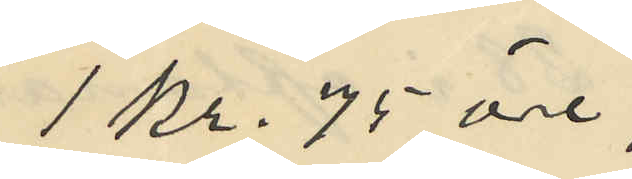1 kr. 75 öre;
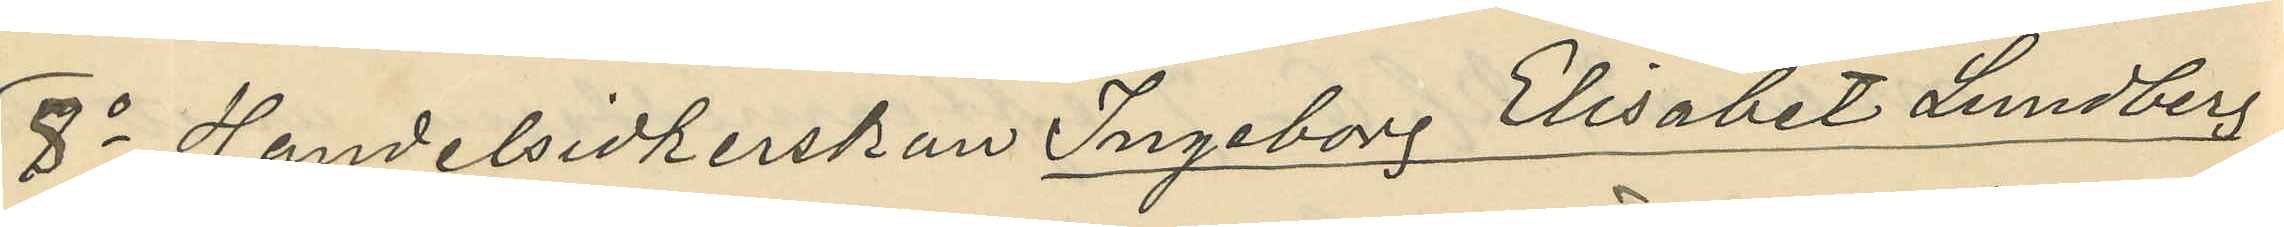8o Handelsidkerskan Ingeborg Elisabet Lundberg,
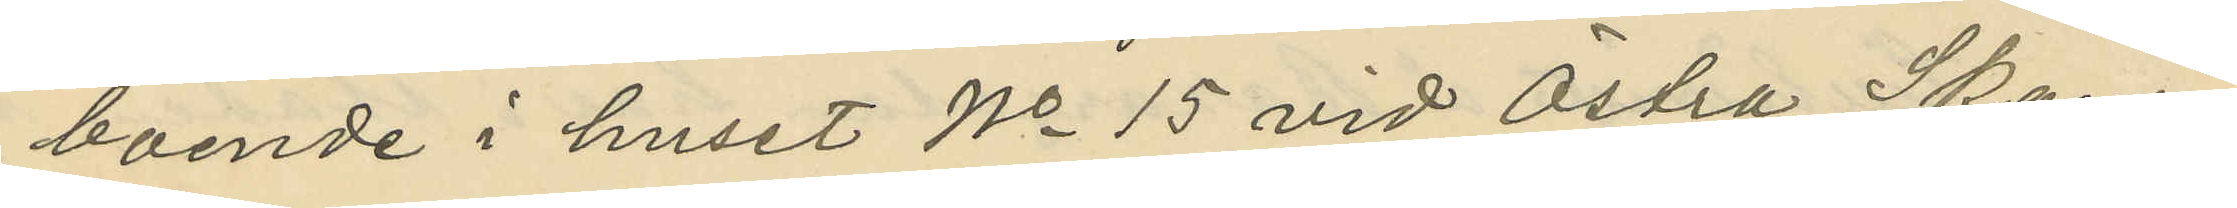boende i huset No 15 vid Östra Skans¬
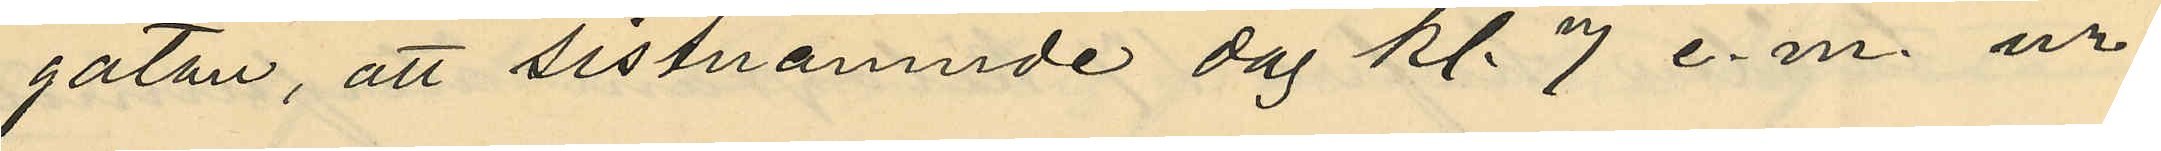gatan, att sistnämnde dag kl. 7 e.m. ur
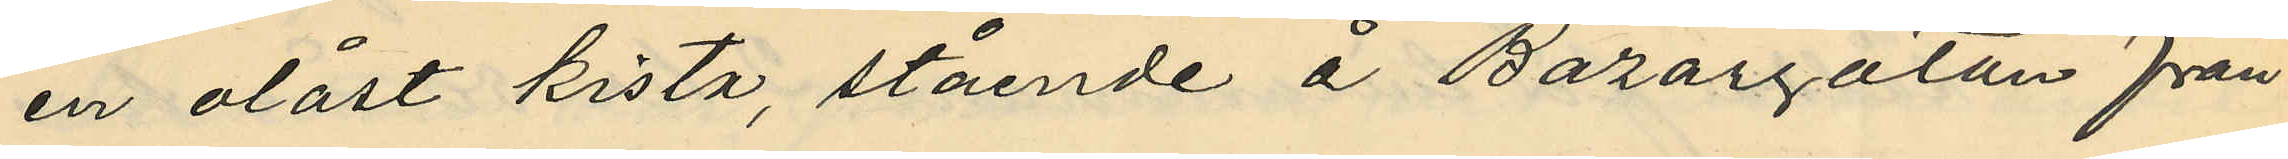en olåst kista, stående å Bazargatan från
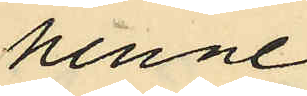henne
